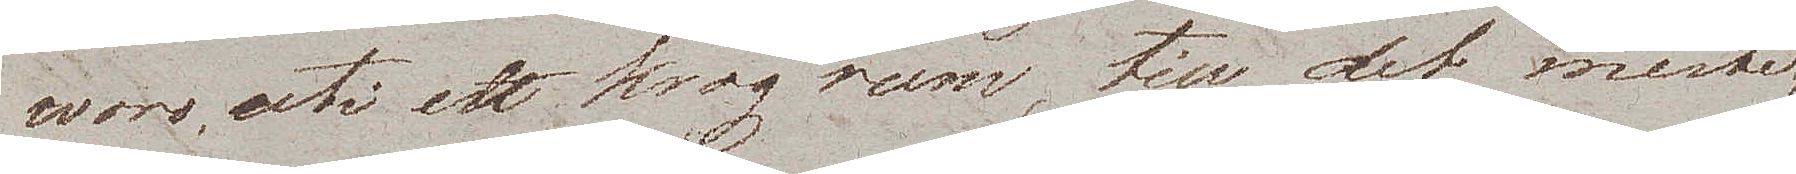woro, uti ett krogrum, till det meste
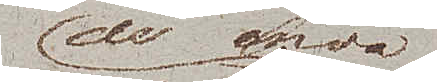de enda
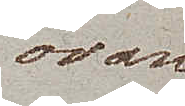ovan¬
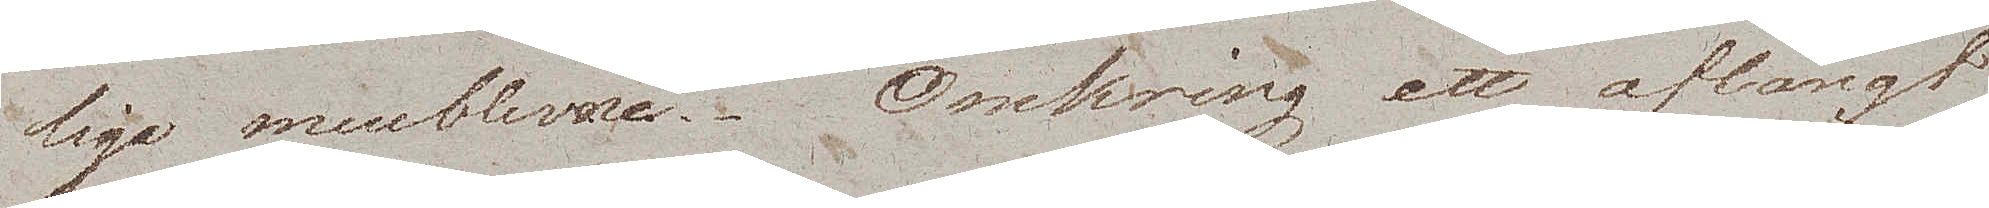liga meublerne. Omkring ett aflångt
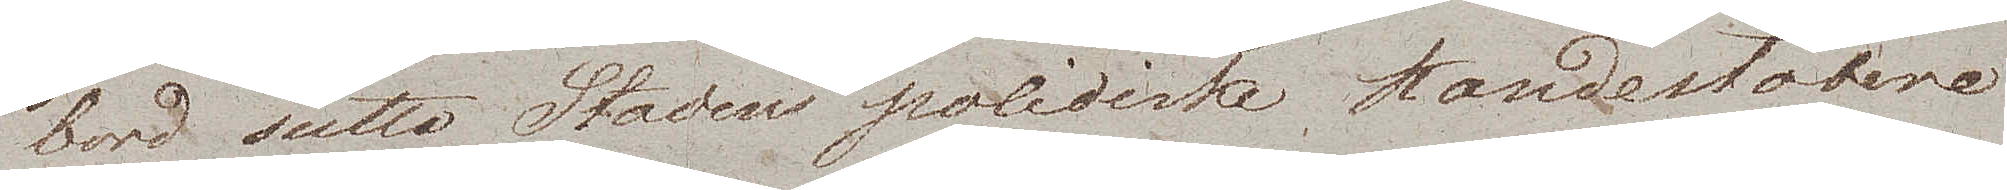bord sutto Stadens politiska Kandestöbere
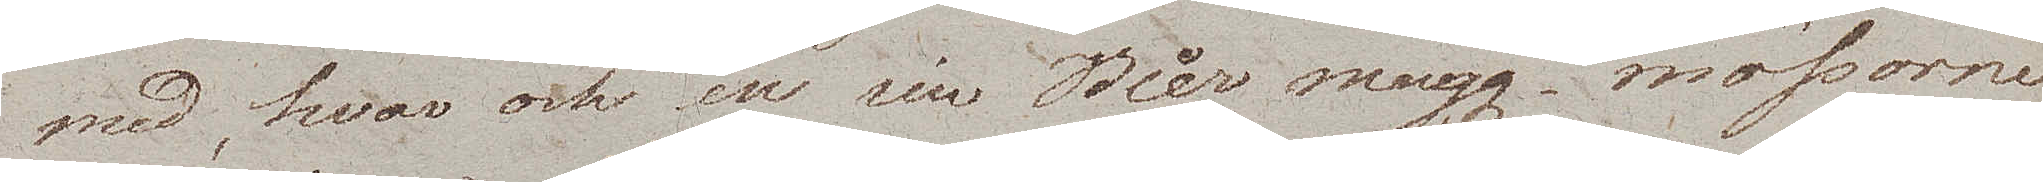med, hvar och en sin Bier mugg – mössorne
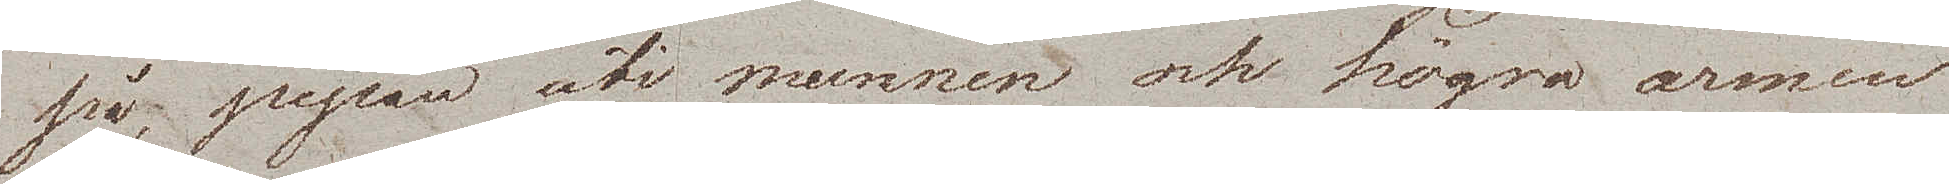på, pipan uti munnen och högra armen
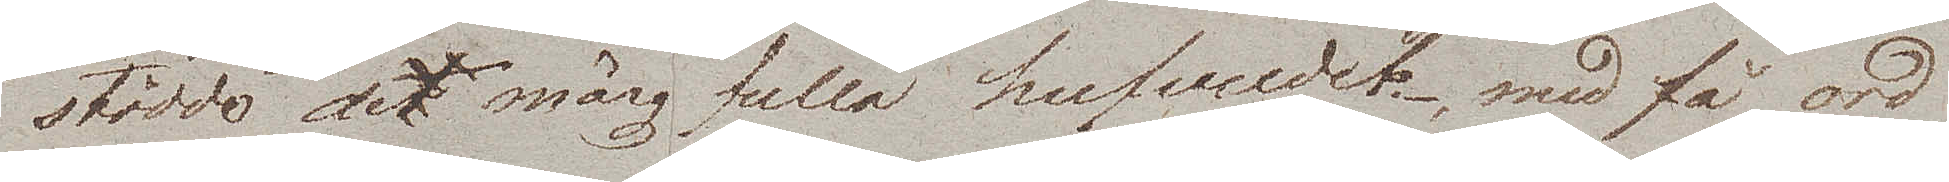stödde det märgfulla hufvudet, med få ord
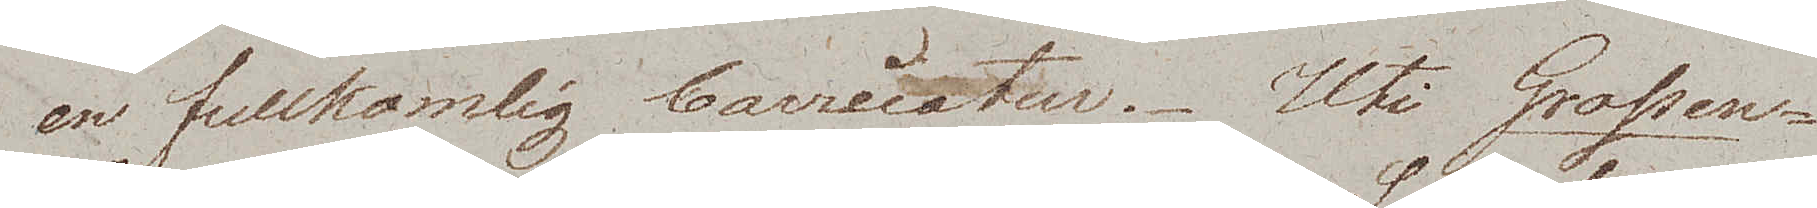en fullkomlig Caricatur. Uti Grossen¬
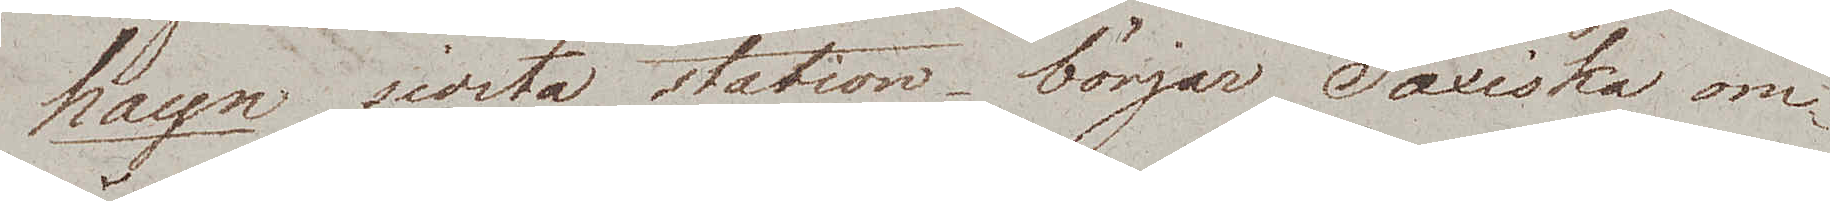hayn sidsta station börjar Saxiska om¬
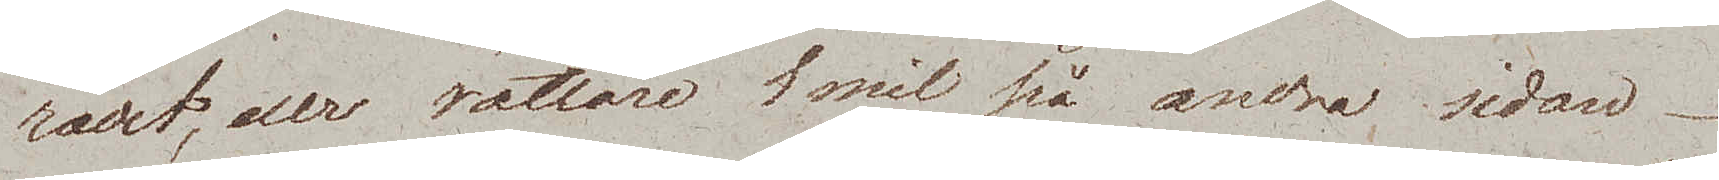rådet, eller rättare 1 mil på andra, sidan.
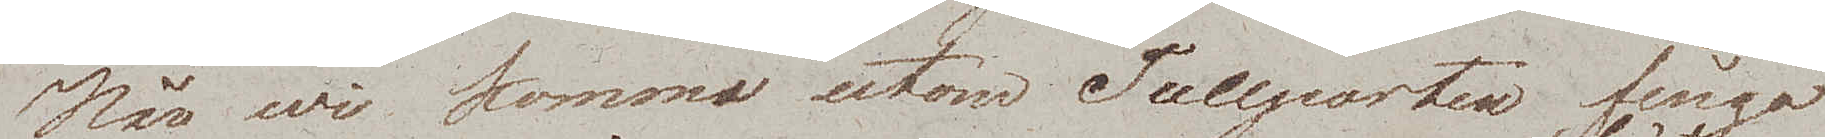När wi kommo utom Tullporten fingo
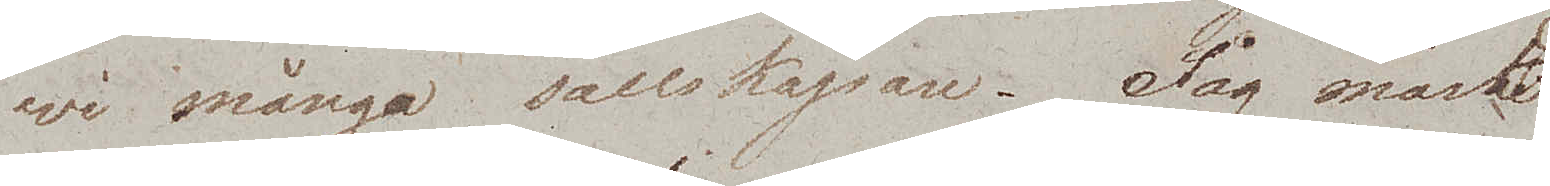wi många sällskapare. Jag måste
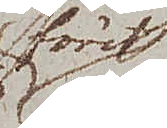först
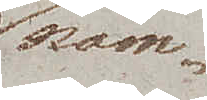näm¬
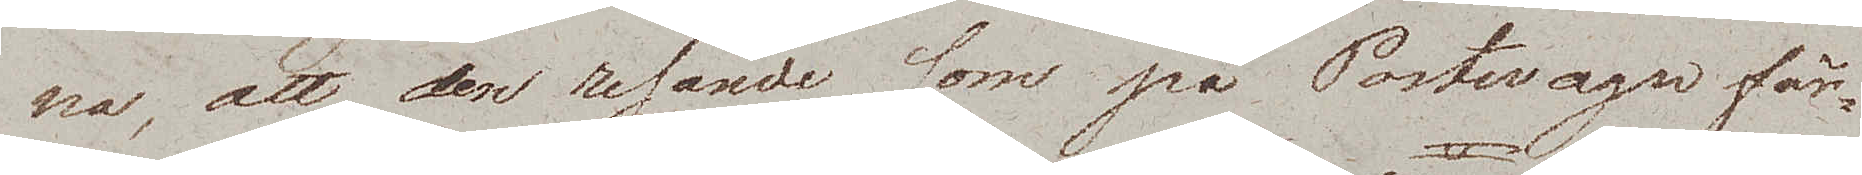na, att den resande som på Postwagn fär¬
